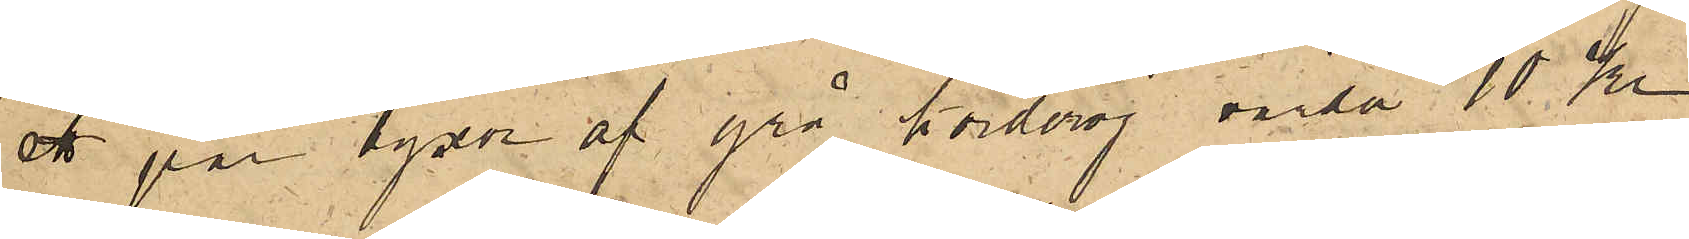ett par byxor af grå korderoj värda 10 Kr.
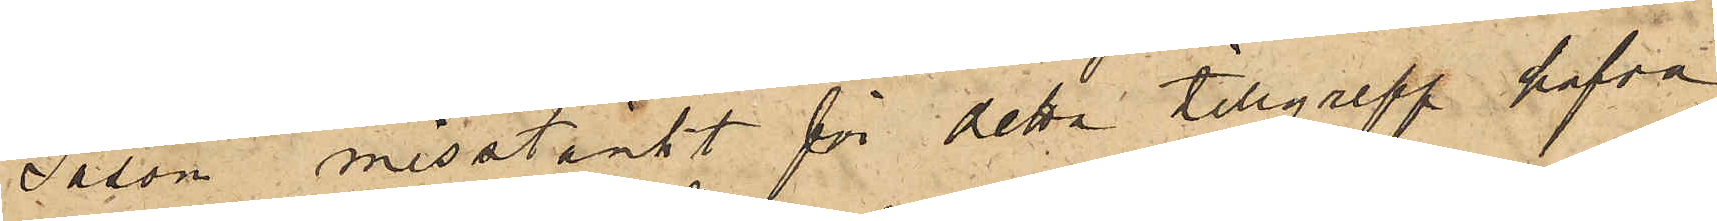Såsom misstänkt för detta tillgrepp hafva
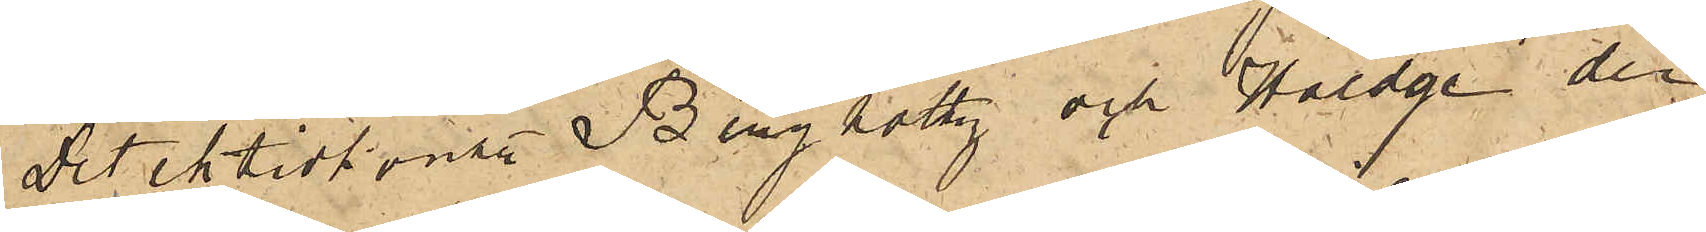Detektivkonst Bergholtz och Haedge den
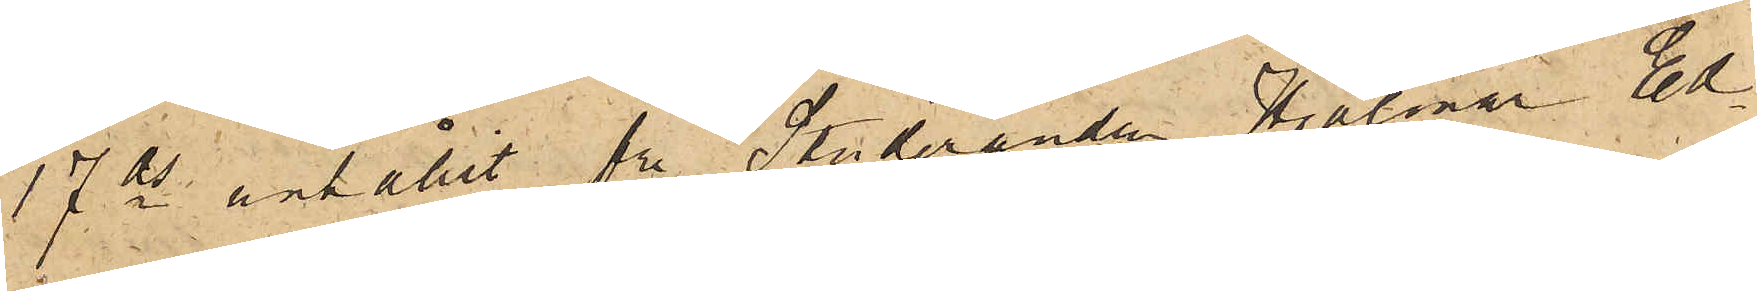17 ds anhållit fe Studeranden Hjalmar Ed¬
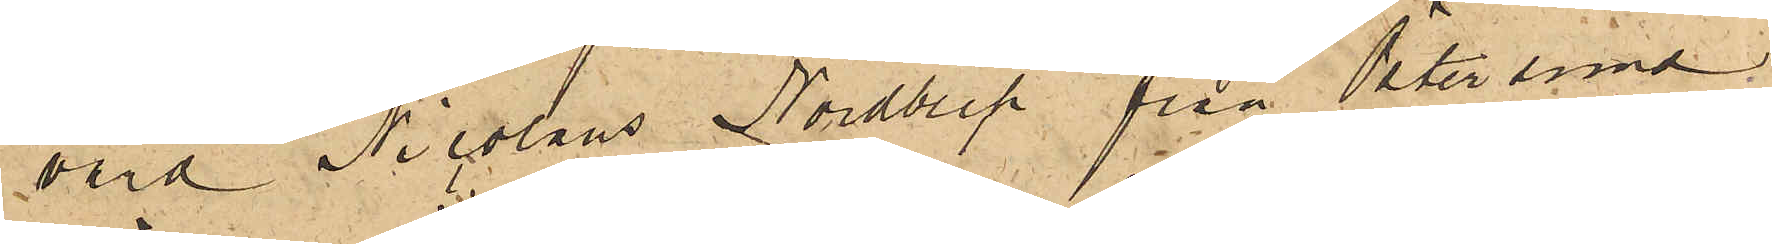vard Nicolaus Nordbeck från Östersund,
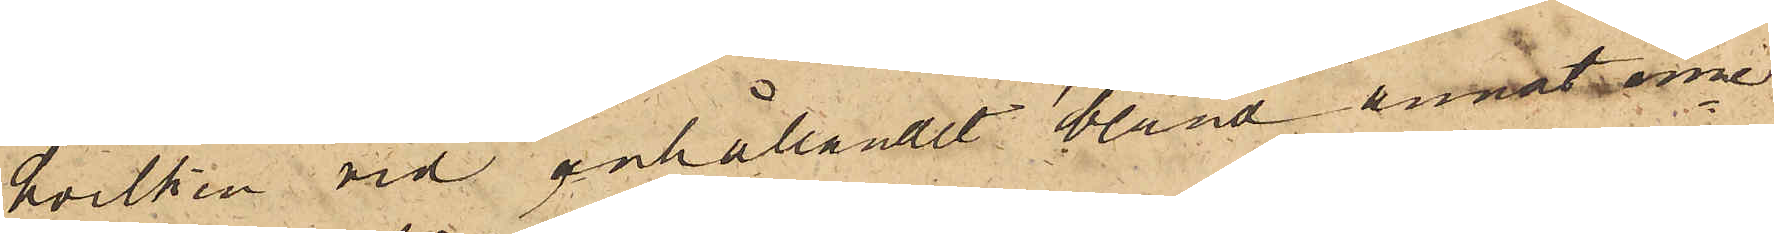hvilken vid anhållandet bland annat inne¬
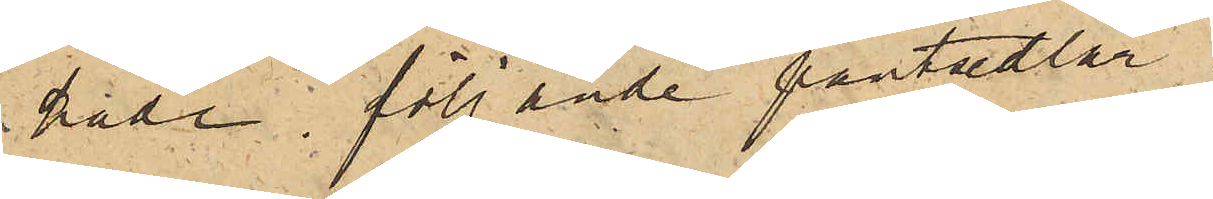hade följande pantsedlar.
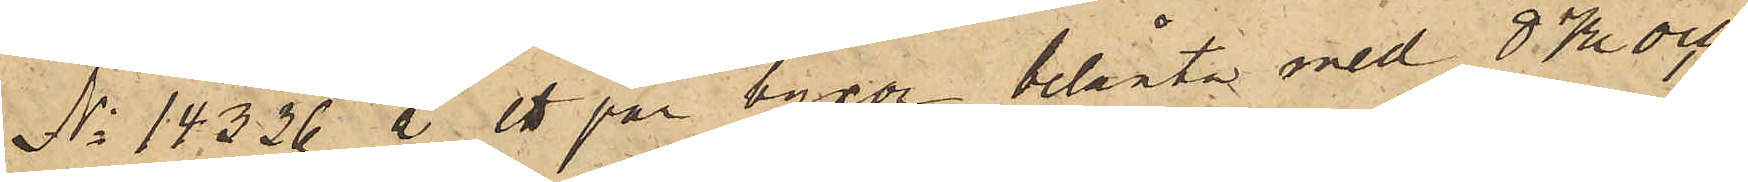No 14326 å ett par byxor belånte med 8 Kr och
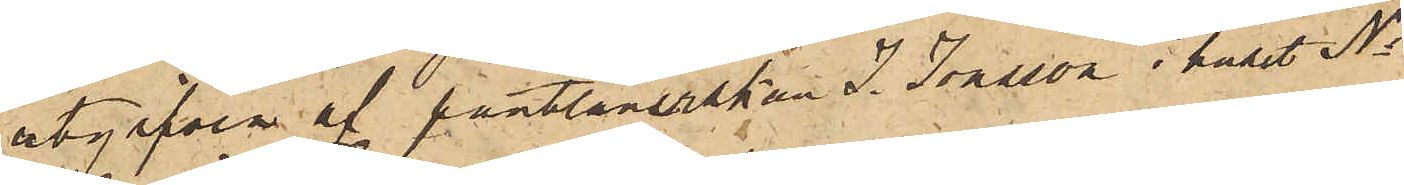utgifven af pantlånerskan J. Josson i huset No
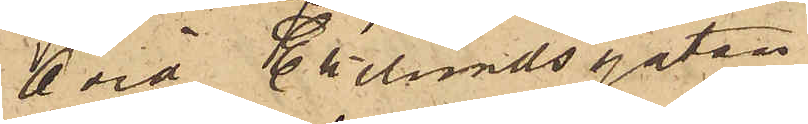6 vid Ekelundsgatan.
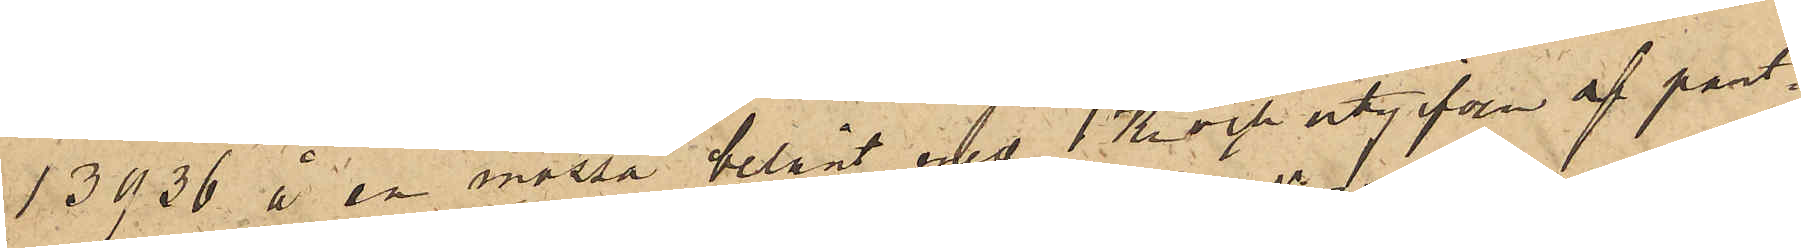13936 å en mössa belånt med 1 Kr och utgifven af pant¬
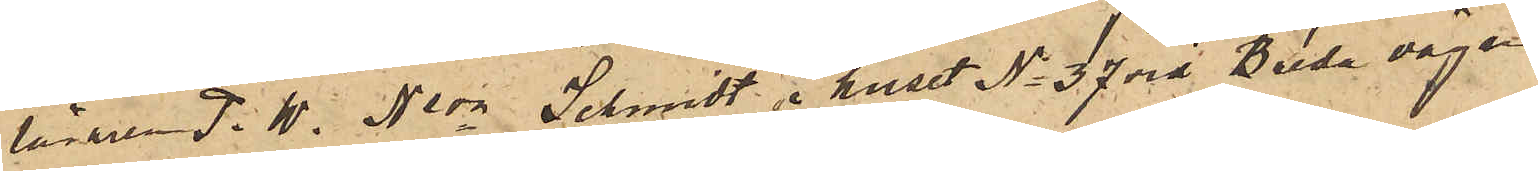lånaren P. M. Nson Schmidt i huset No 37 vid Breda vägen
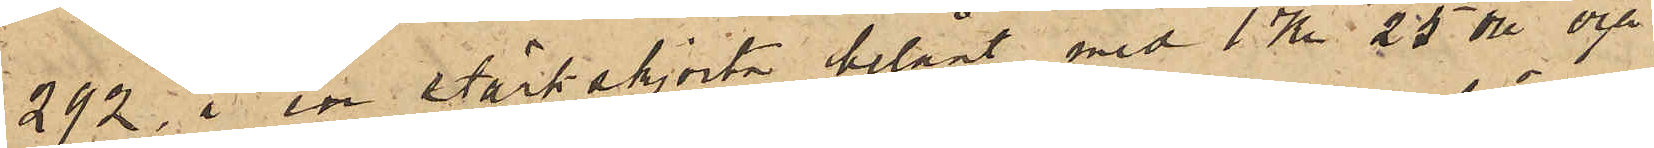292 å en stärkskjorta belånt med 1 Kr. 25 öre och
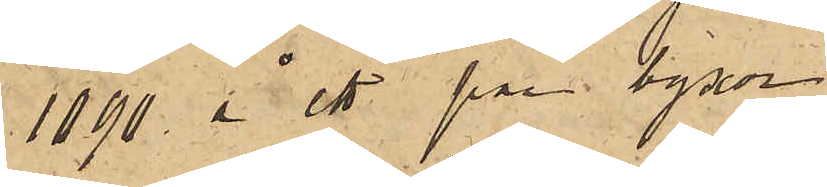1090 å ett par byxor
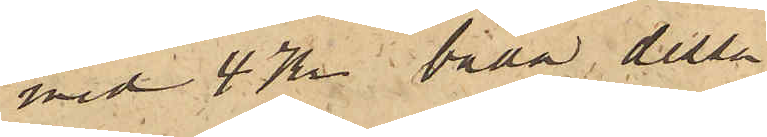med 4 Kr, båda dessa
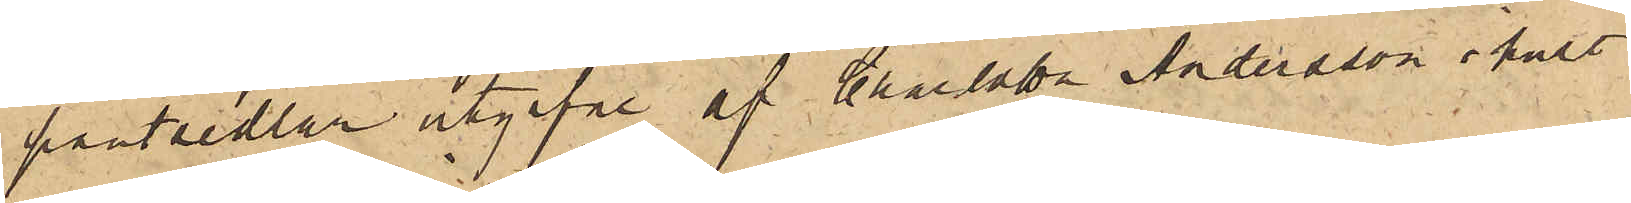pantsedlar utgifne af Charlotta Andersson i huset
